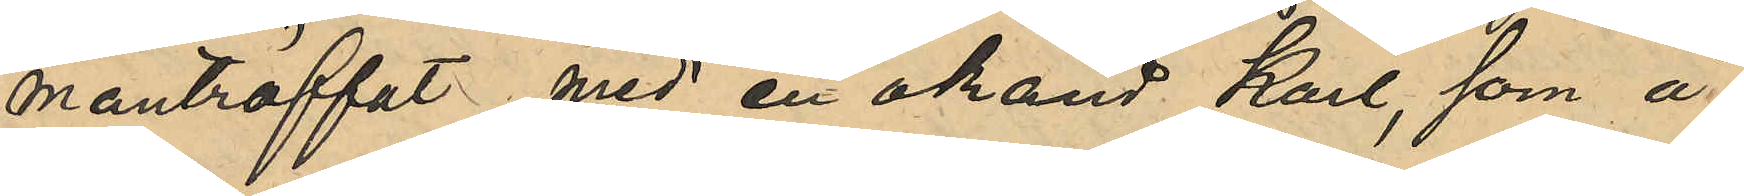manträffat med en okänd Karl, som å
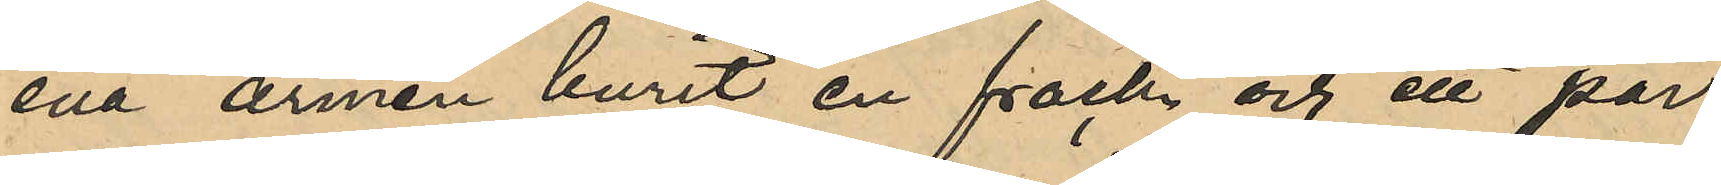ena armen burit en frack och ett par
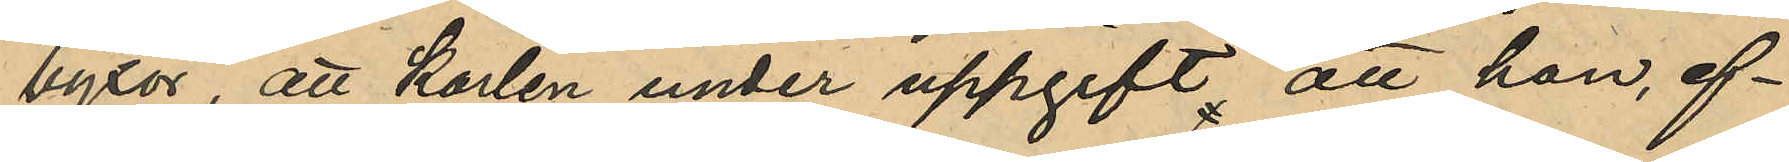byxor, att Karlen under uppgift att han, ef¬
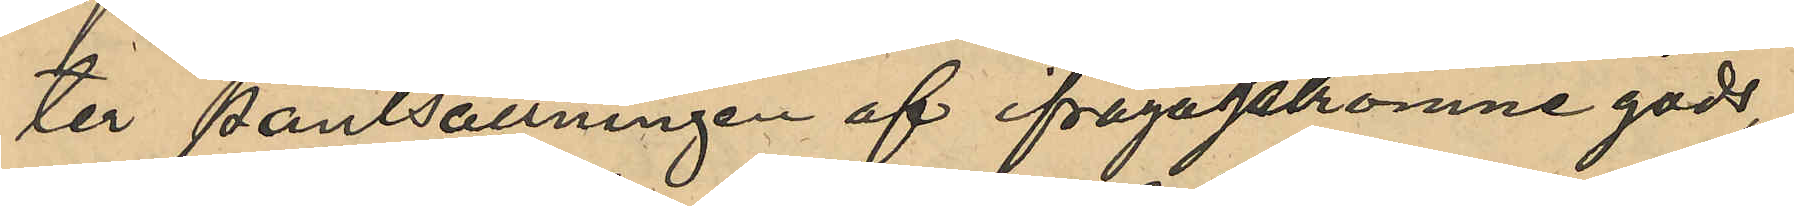ter pantsättningen af ifrågakomne gods,
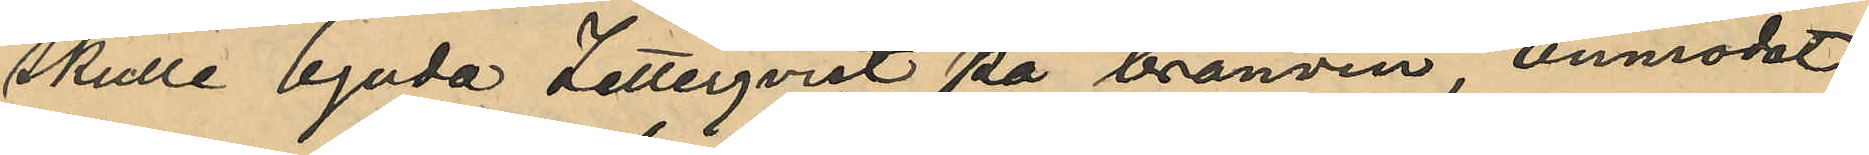skulle bjuda Zetterqvist på brännvin, anmodat
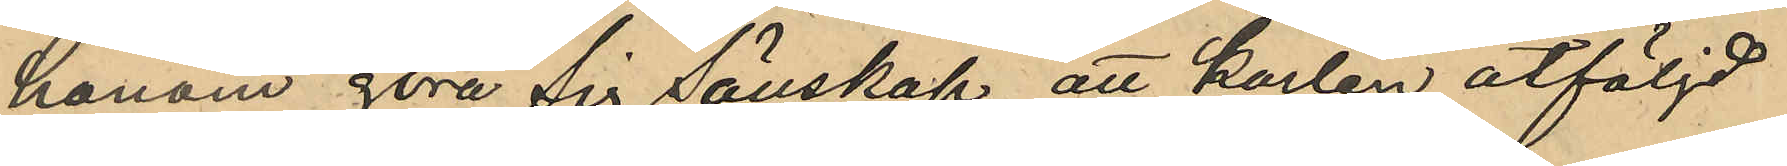honom göra sig sällskap, att karlen åtföljd
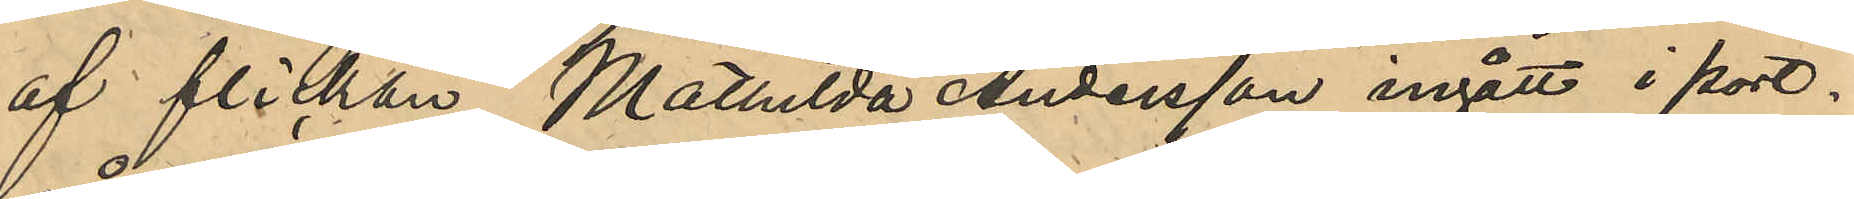af flickan Mathilda Andersson ingått i port¬
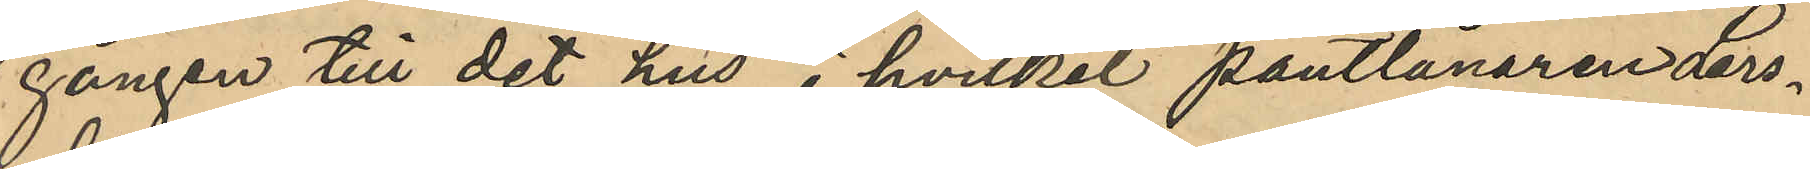gången till det hus hvilket pantlånaren Lars¬
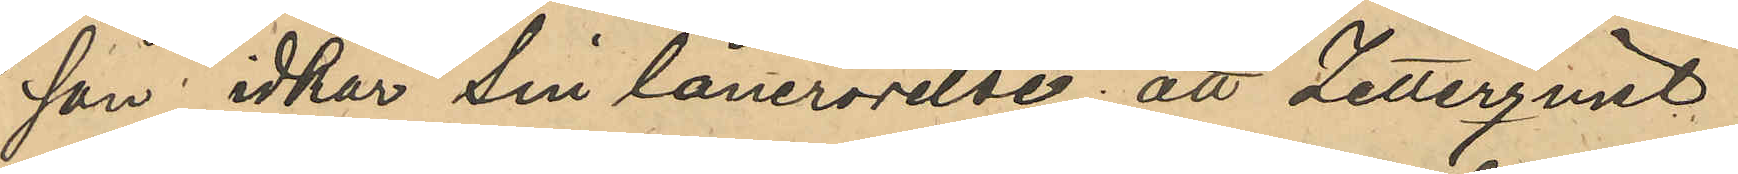son idkar sin lånerörelse, att Zetterqvisst
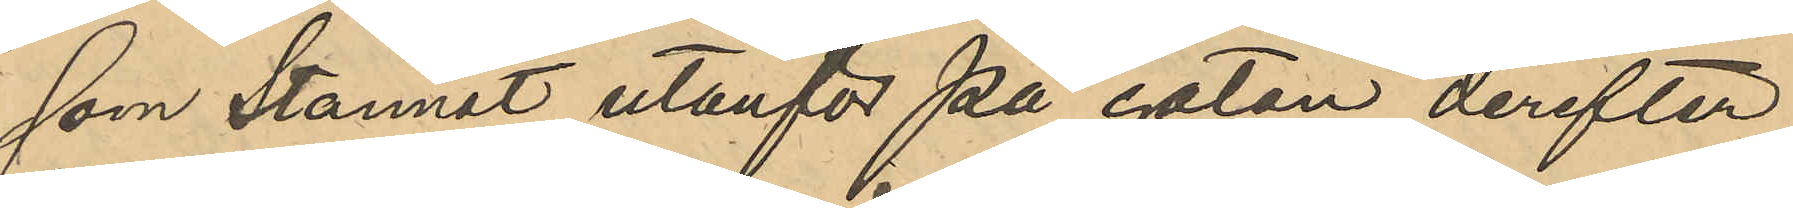som stannat utanför på gatan derefter
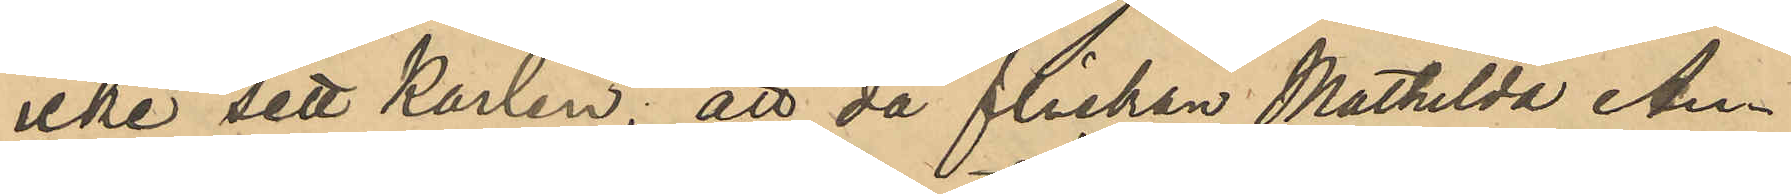icke sett Karlen, att då flickan Mathilda An¬
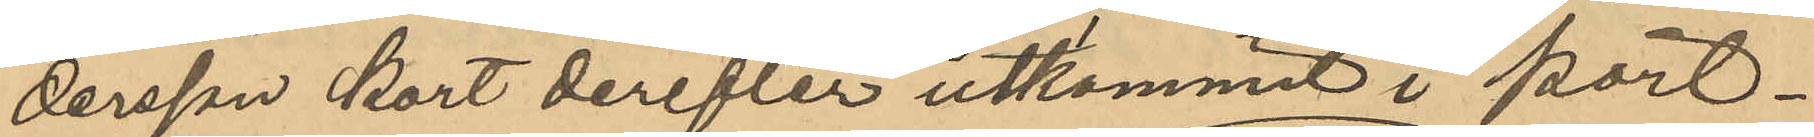dersson kort derefter utkommit i port¬
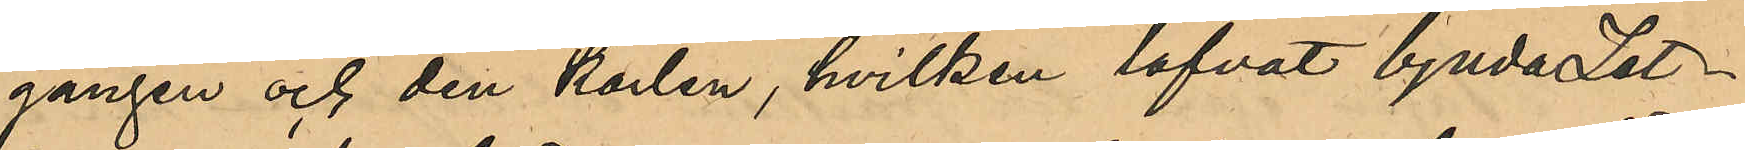gången och den karlen, hvilken lofvat bjuda Zet¬
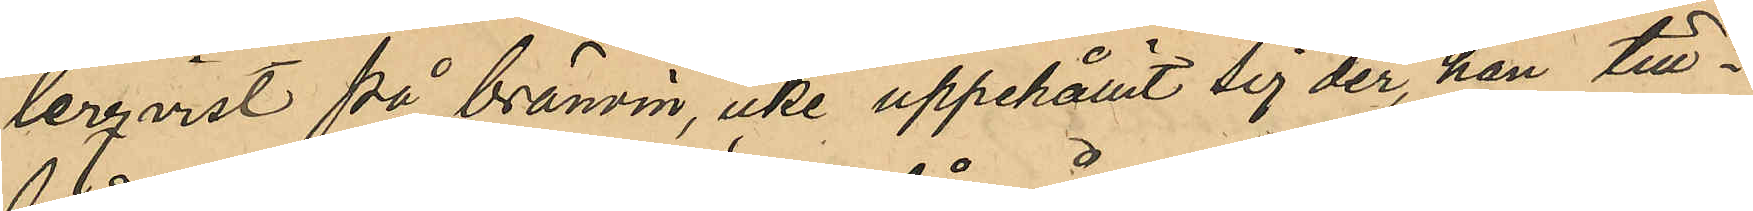terqvist på bränvin, icke uppehållit sig der, han till¬
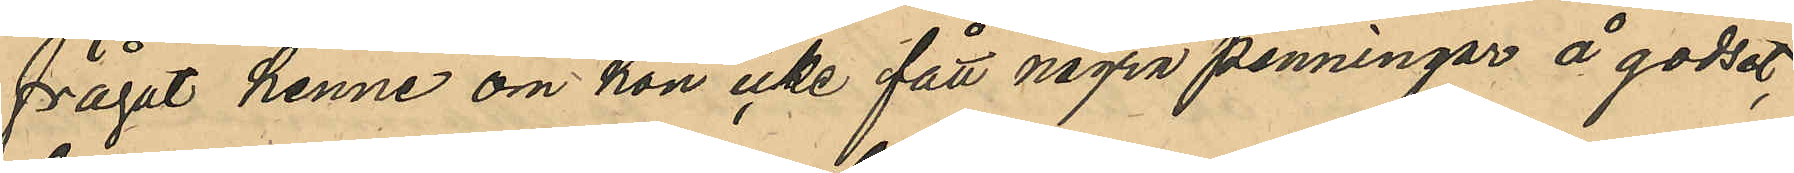frågat henne om hon icke fått några penningar å godset,
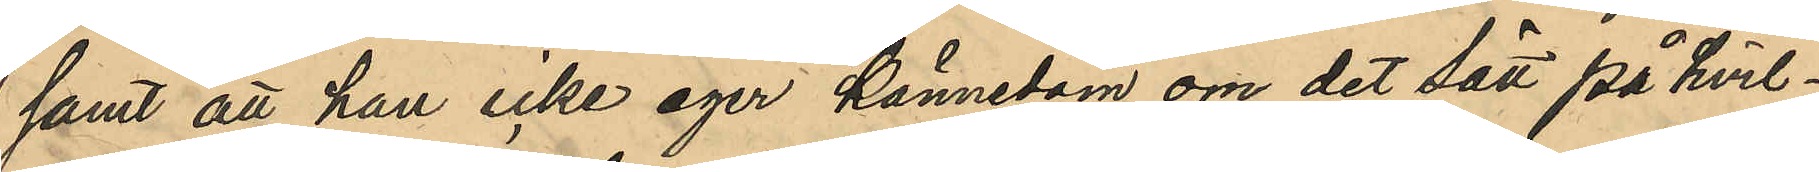samt att han icke äger kännedom om det sätt på hvil¬
